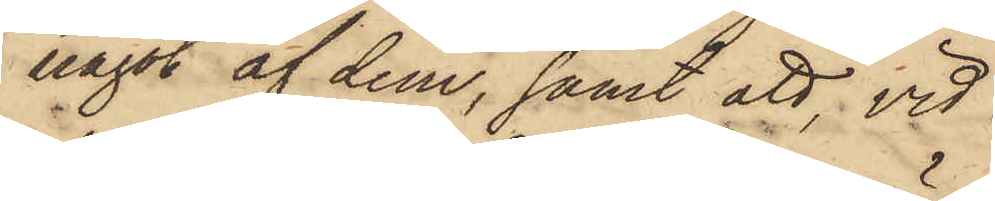något af dem, samt att vid
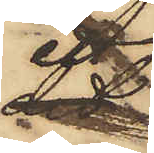ett
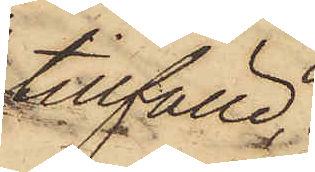tillfälle,
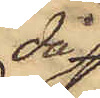då
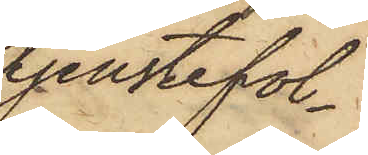tjenstefol¬
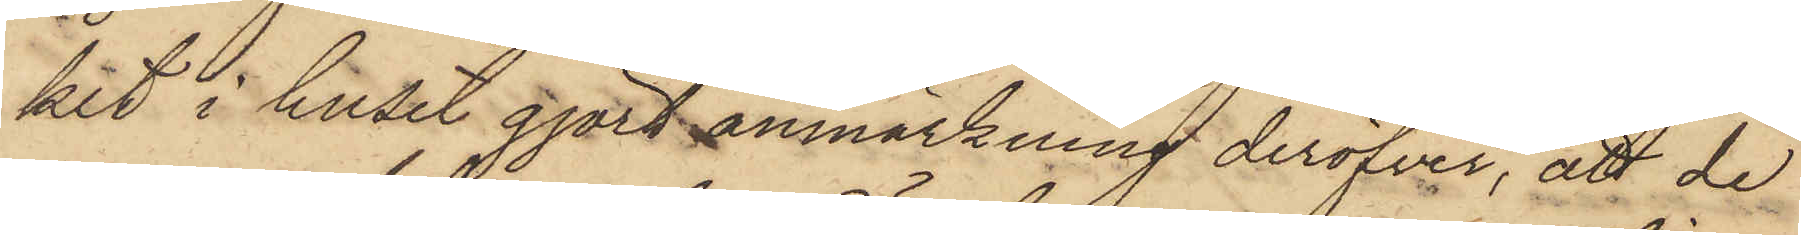ket i huset gjort anmärkning deröfver, att de
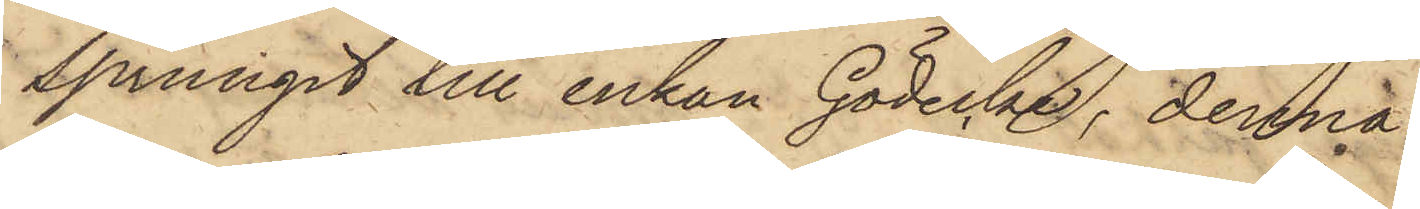sprungit till enkan Gödecke, denna
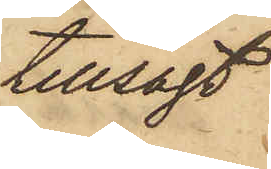tillsagt
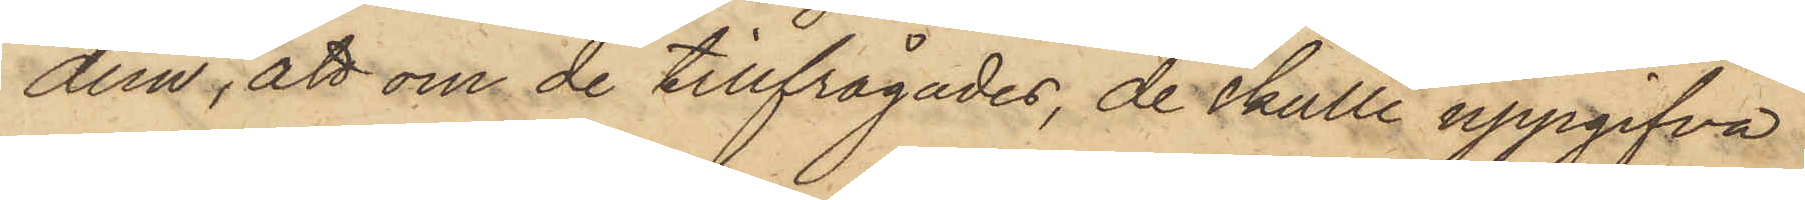dem, att om de tillfrågades, de skulle uppgifva
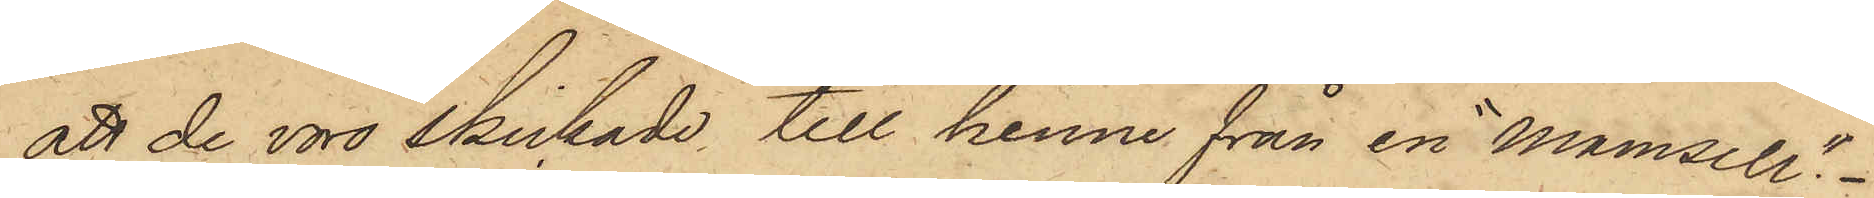att de voro skickade till henne från en "Mamsell".
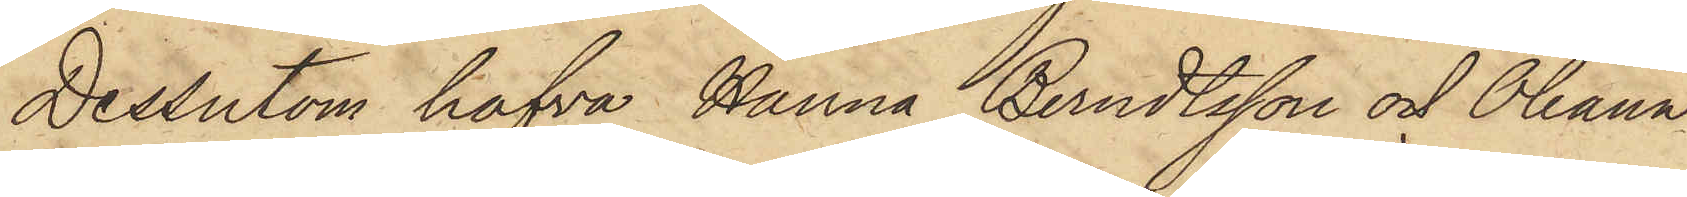Dessutom hafva Hanna Berndtsson och Oleana
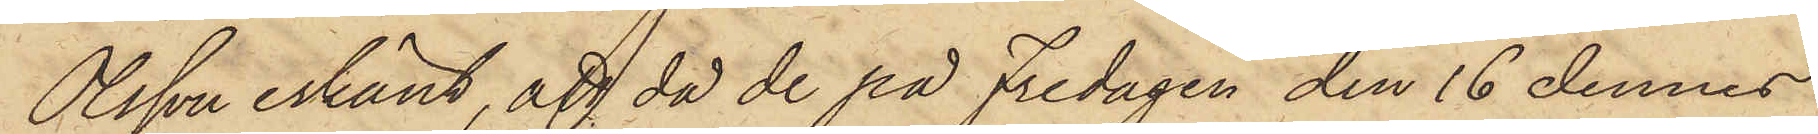Olsson erkänt, att då de på Fredagen den 16 dennes
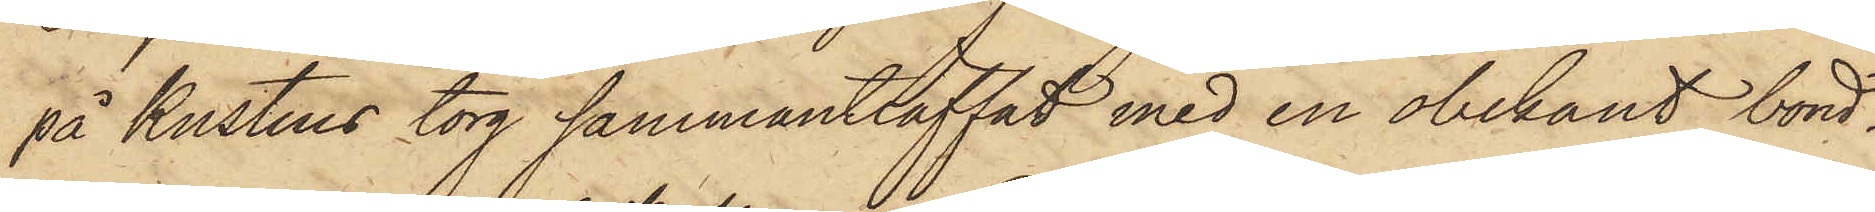på Kustens torg sammanträffat med en obekant bond¬
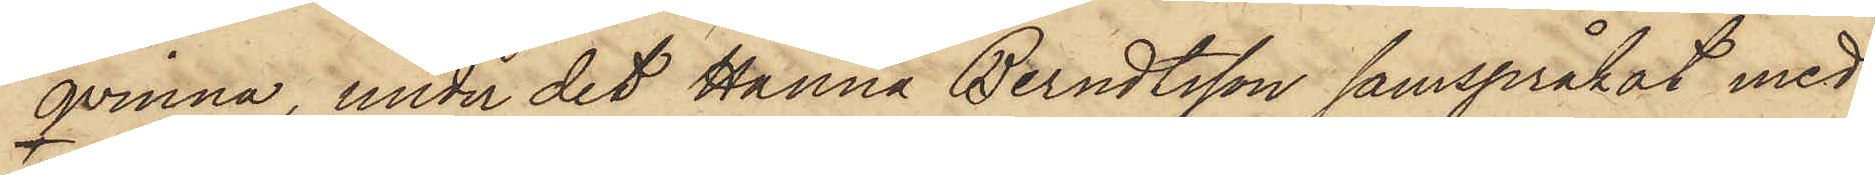qvinna, under det Hanna Berndtsson samspråkat med
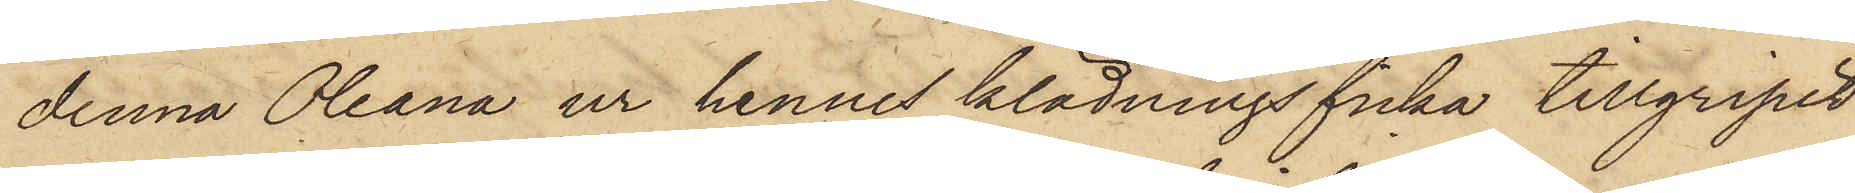denna Oleana ur hennes klädningsficka tillgripit
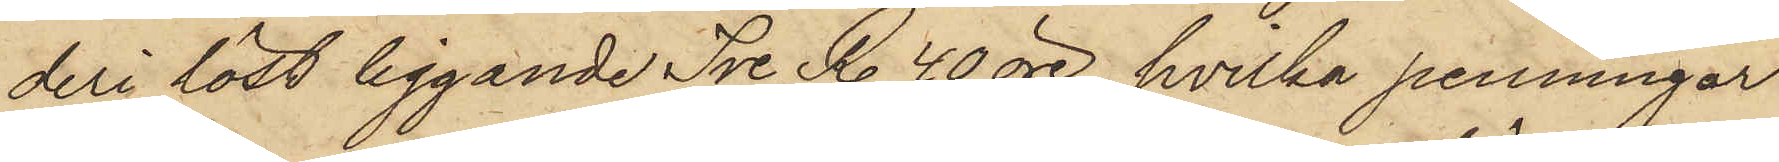deri löst liggande Tre R. 40 öre, hvilka penningar
